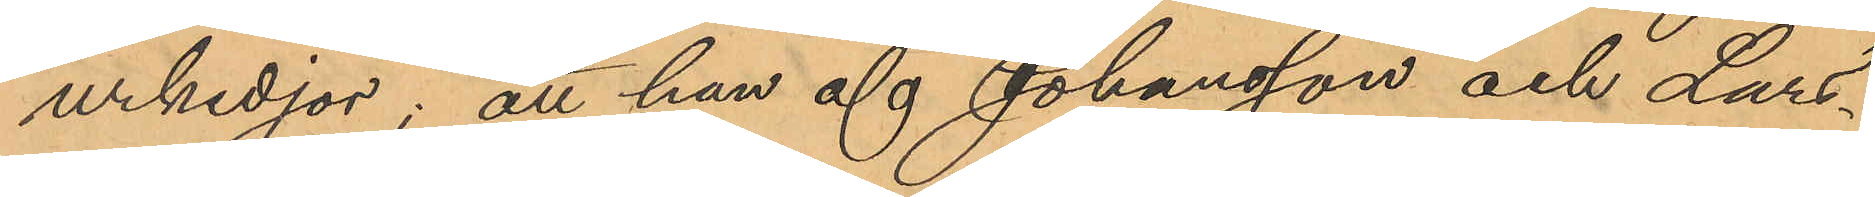urkedjor; att han af Johansson och Lars¬
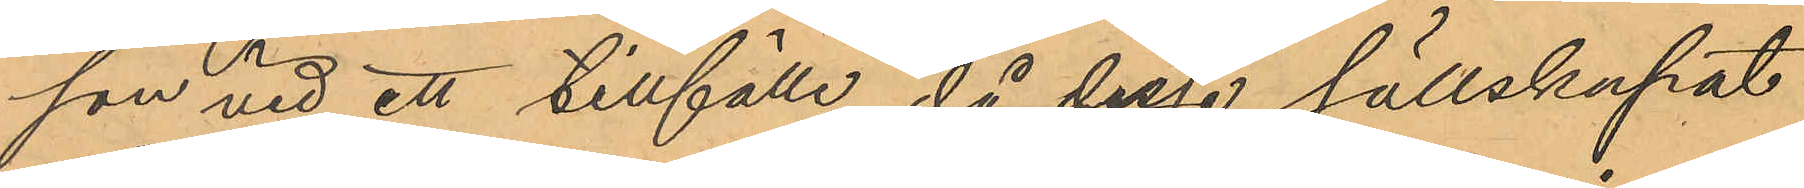son vid ett tillfälle, då dessa sällskapat
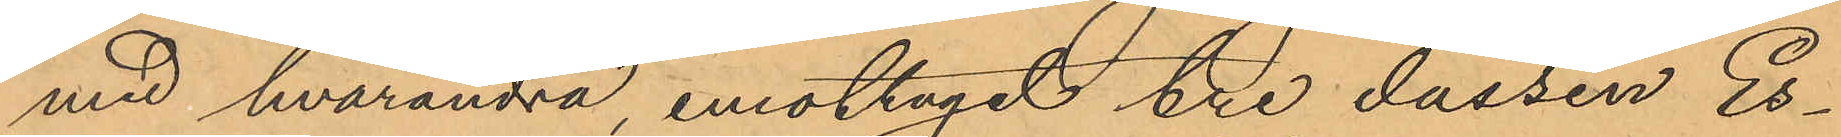med hvarandra emottagit tre dussin Es¬
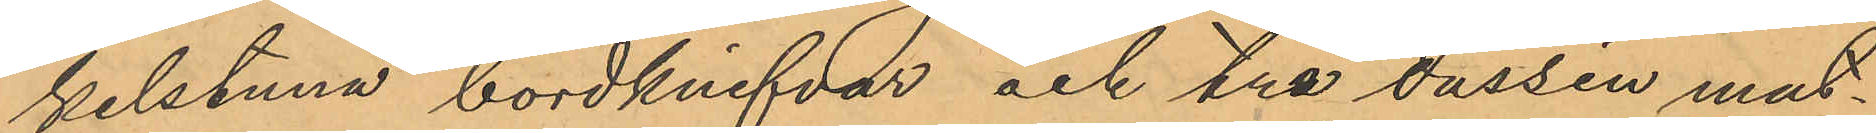kilstuna bordknifvar och tre dussin mat¬
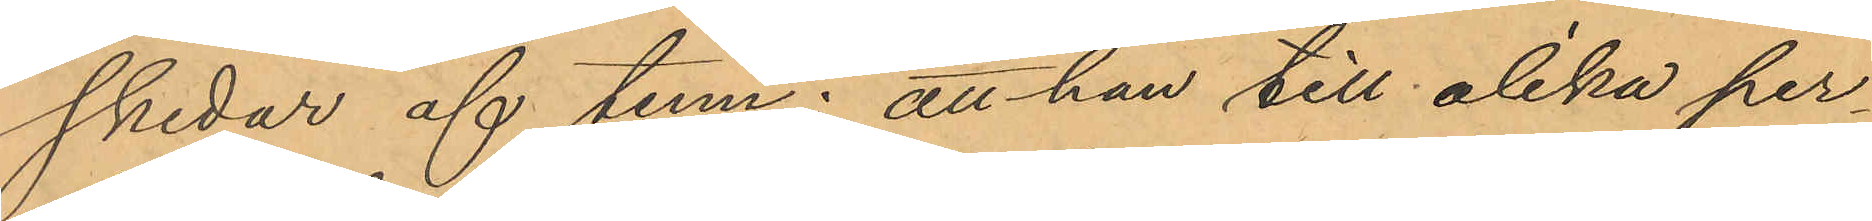skedar af tenn; att han till olika per¬
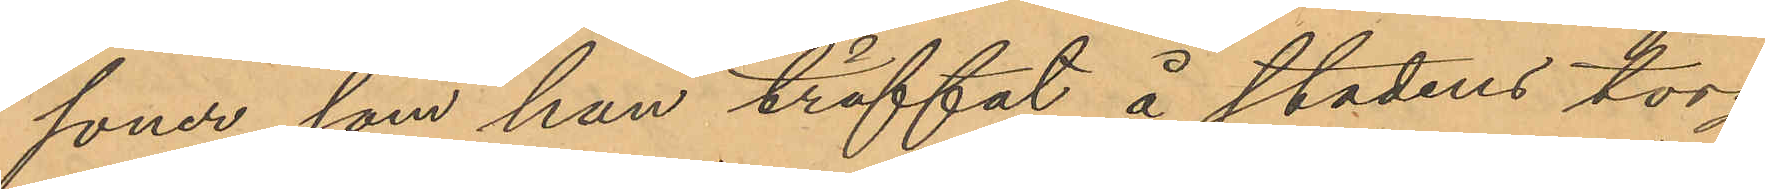soner, som han träffat å stadens torg
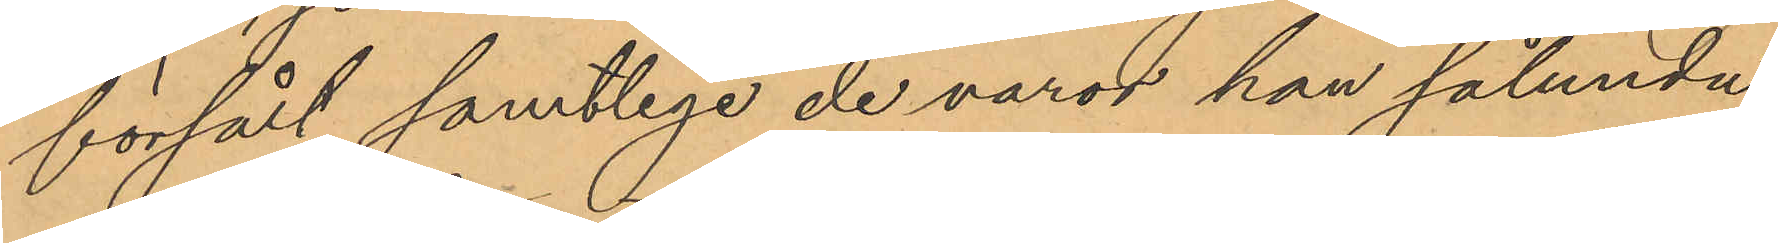försålt samtliga de varor han sålunda
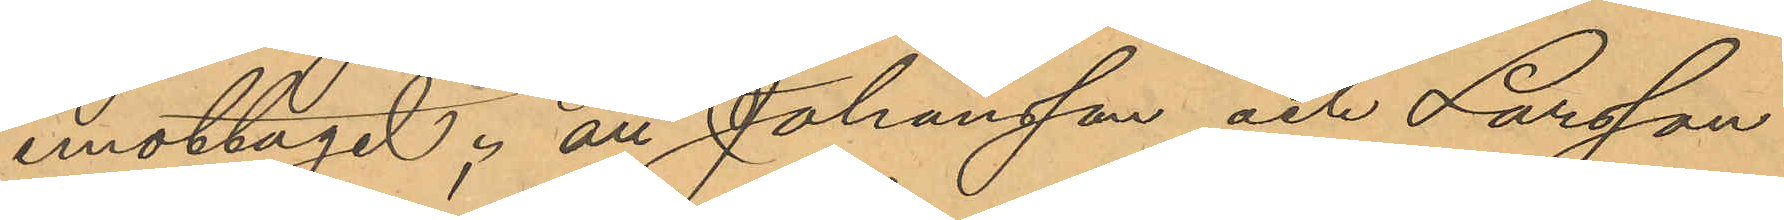emottagit; att Johansson och Larsson
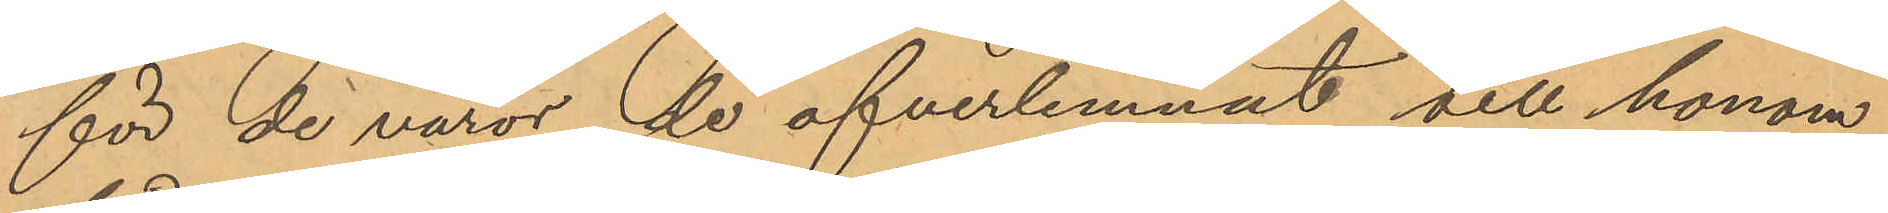för de varor de öfverlemnat till honom
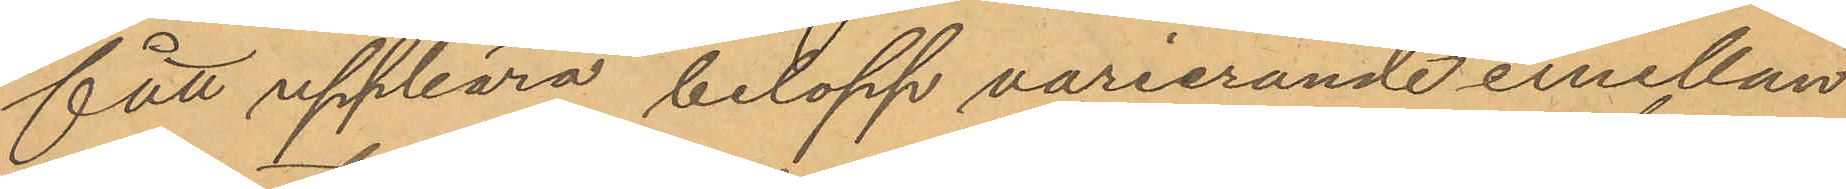fått uppbära belopp varierande emellan
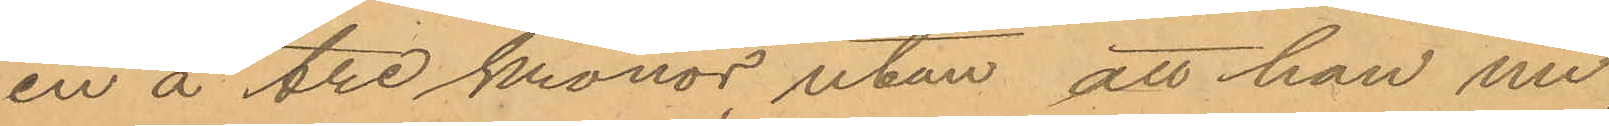en á tre kronor, utan att han nu
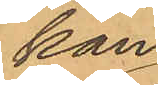kan
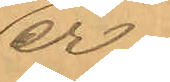er¬
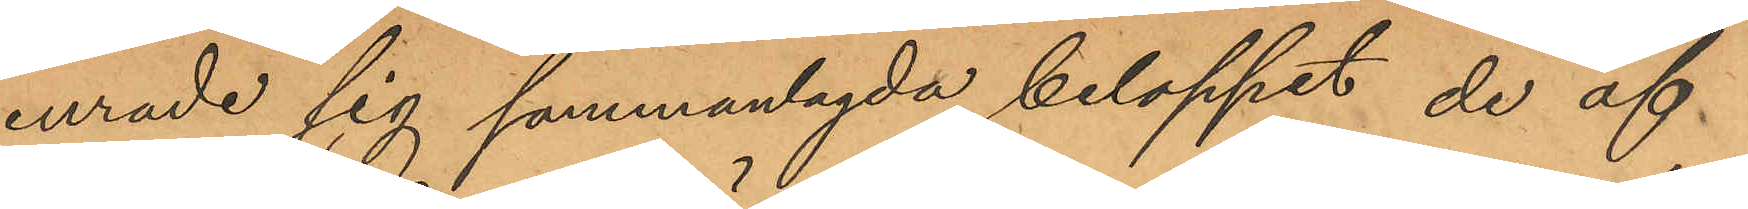inrade sig sammanlagda beloppet de af
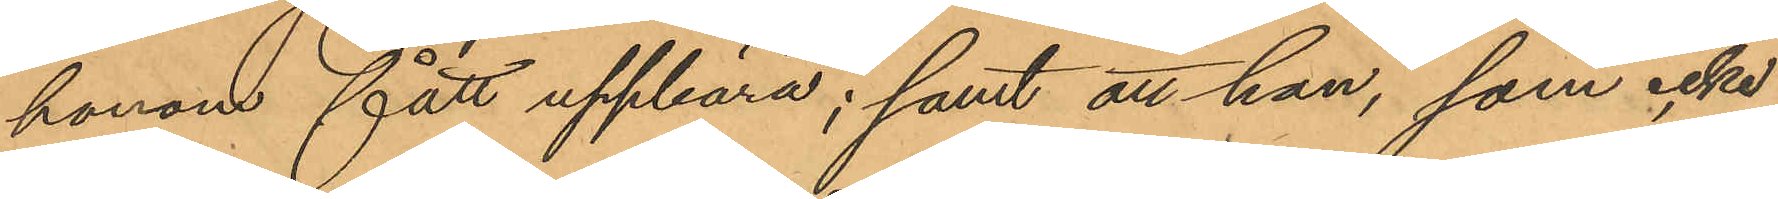honom fått uppbära; samt att han, som icke
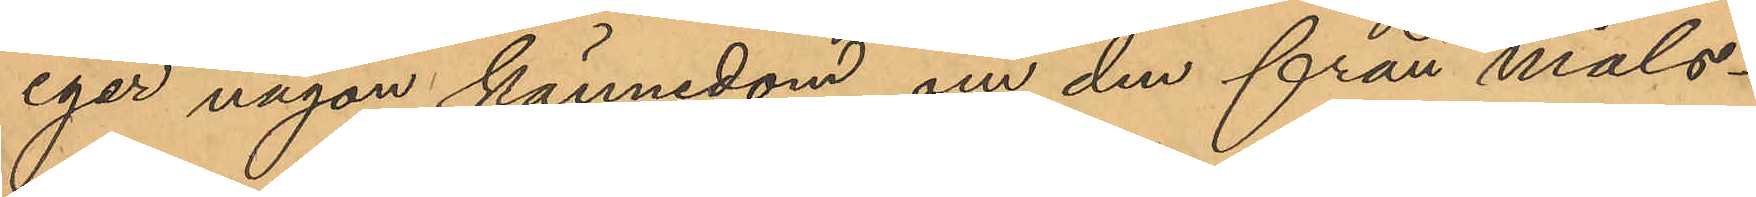eger någon kännedom om den från måls¬
